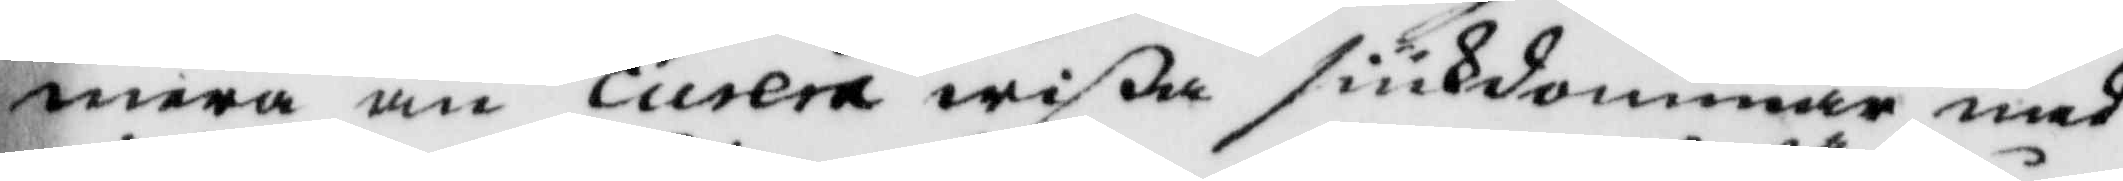mera än curera wißa siukdommar med
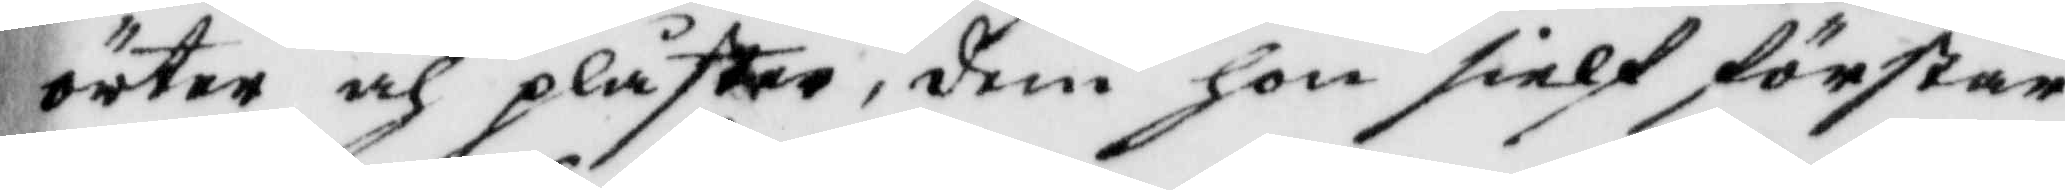örter och plåster, dem hon sielf förstår
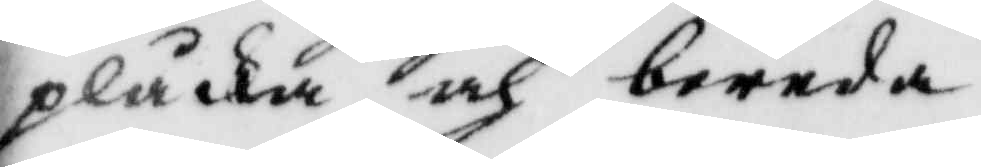plåcka och bereda.
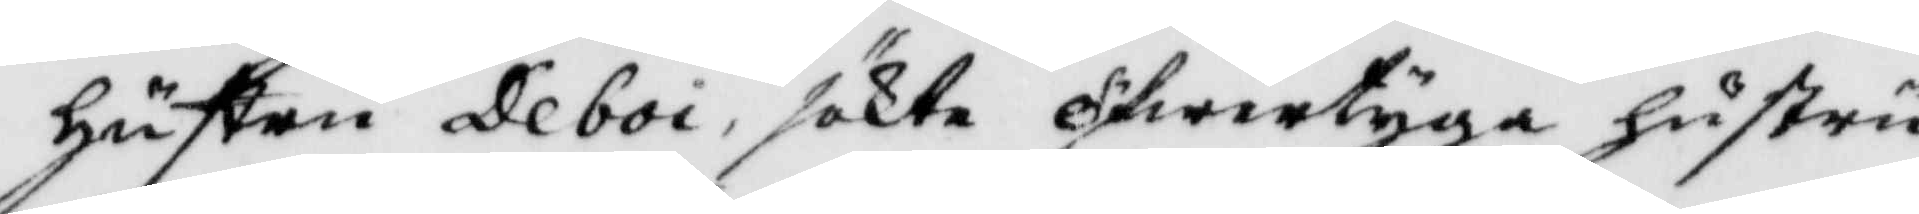hustru Deboi, sökte öfwertyga hustru
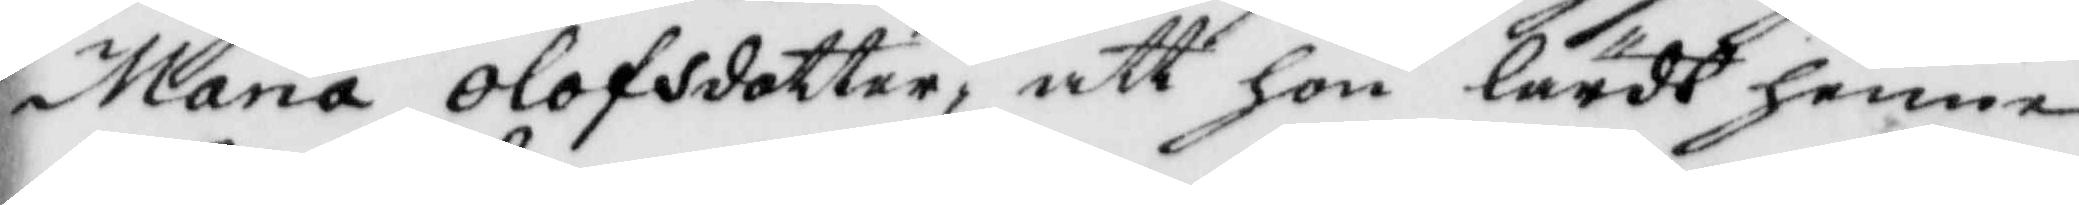maria olofsdotter, att hon lärdt henne
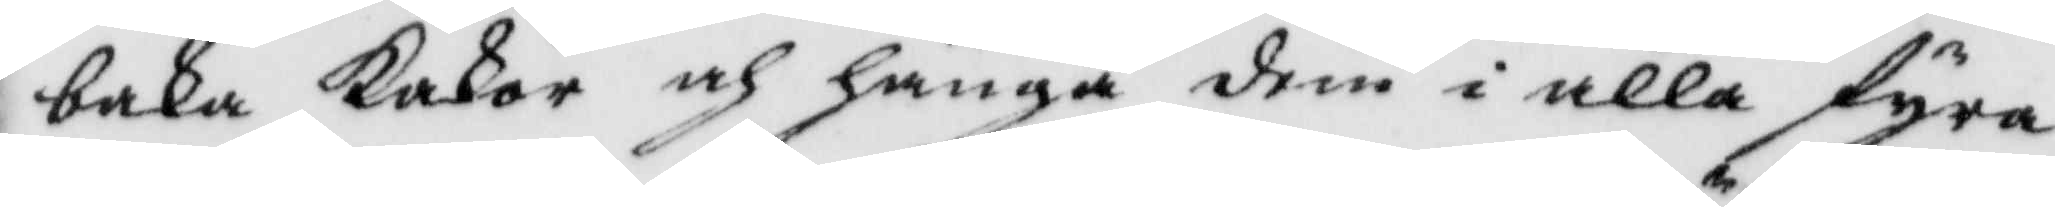baka Kakor och hänga dem i alla fyra
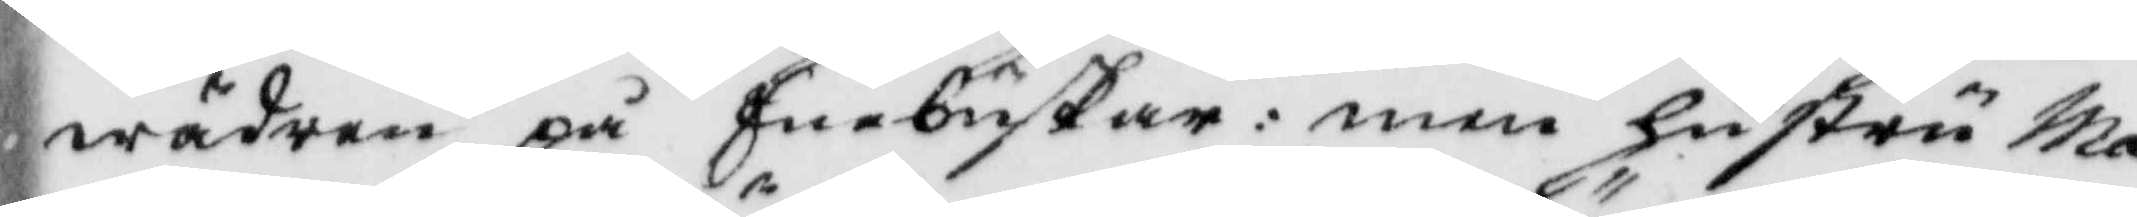wäder på Enebuskar: men hustru Ma¬
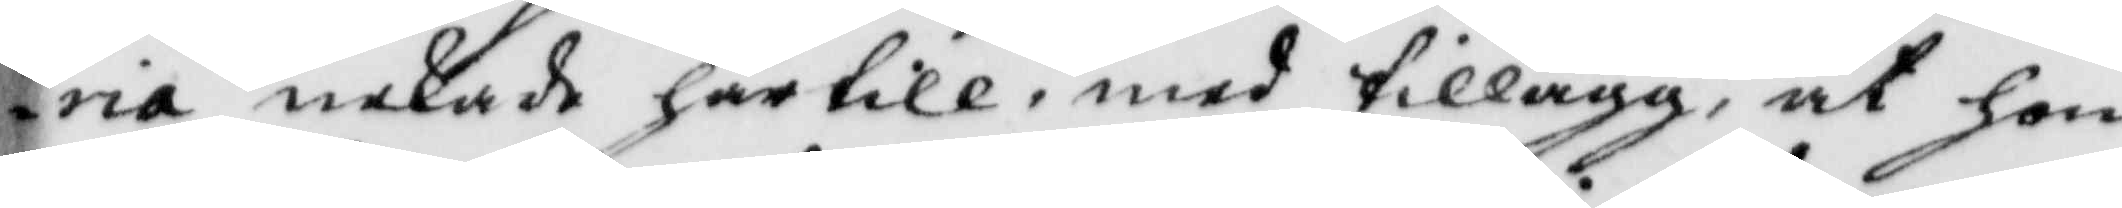ria nekade härtill, med tillägg, at hon
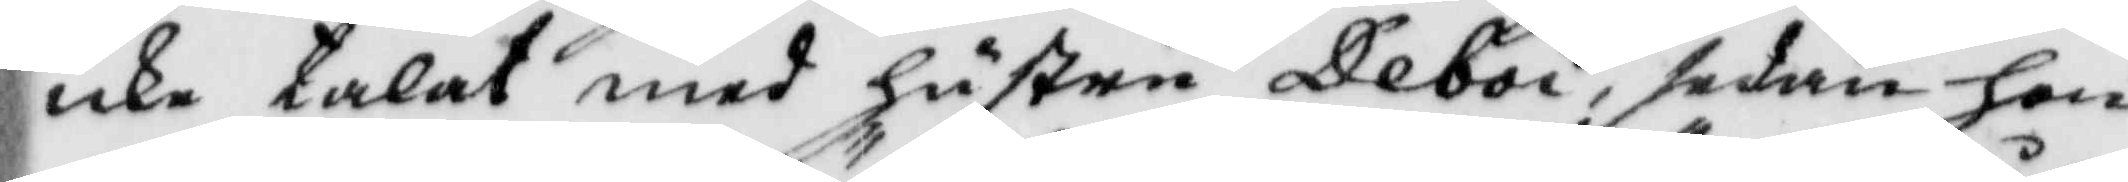icke talat med hustru Deboi, sedan hon
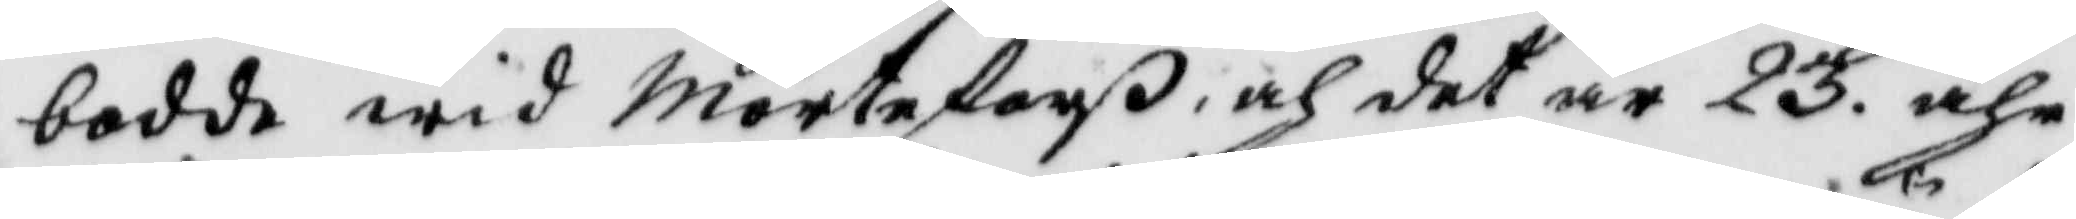bodde wid Mörteforß, och det är 23. åhr
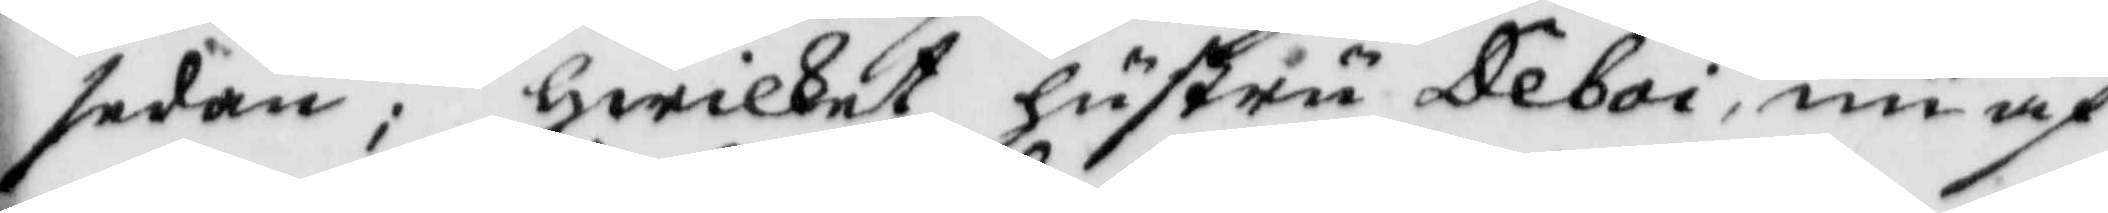sedan; hwilket hustru Deboi, nu äf¬
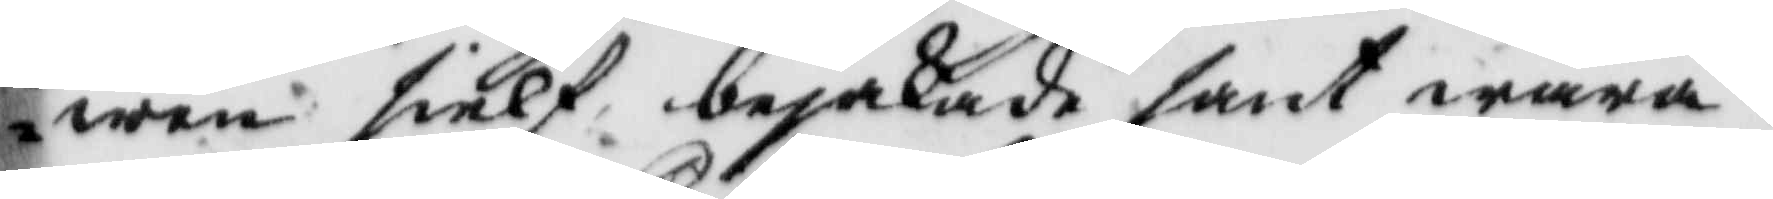wen sielf bejakade sant wara.
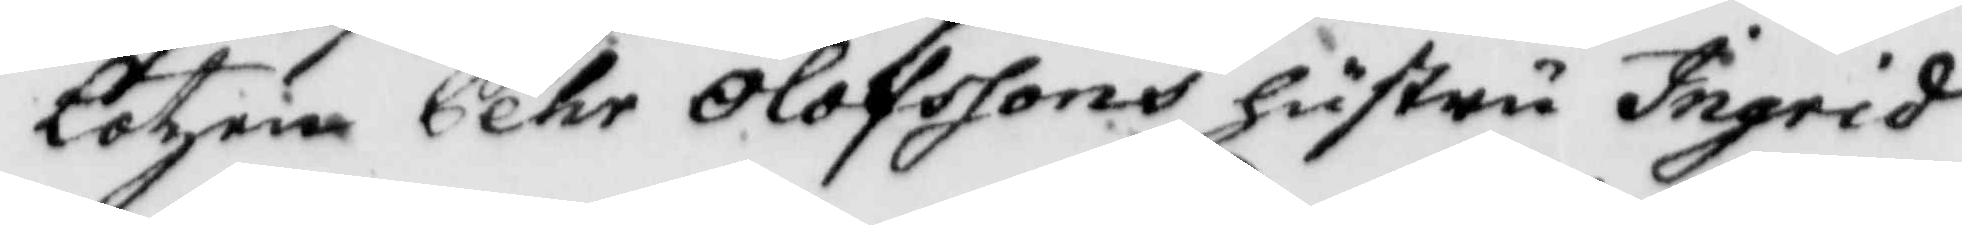Lotzen Pehr Olofssons hustru Ingrid
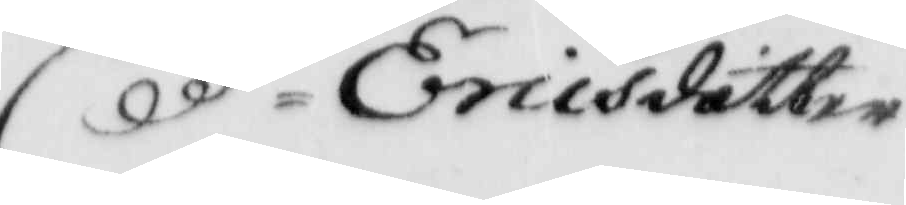Ericsdotter
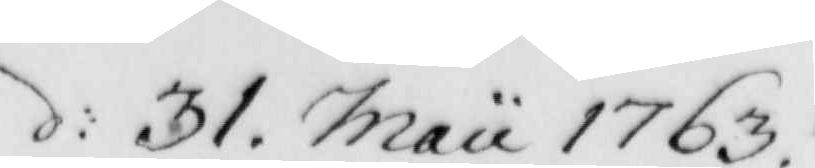d: 31. Maii 1763.
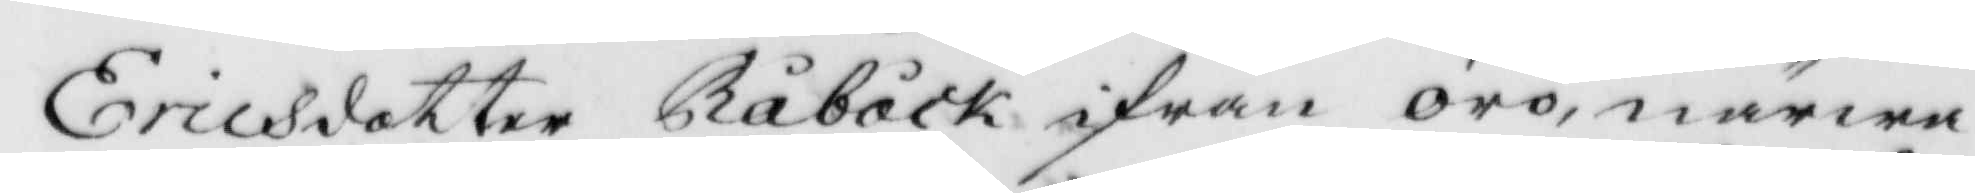Ericsdotter Råbåck ifrån örö, närwa¬
